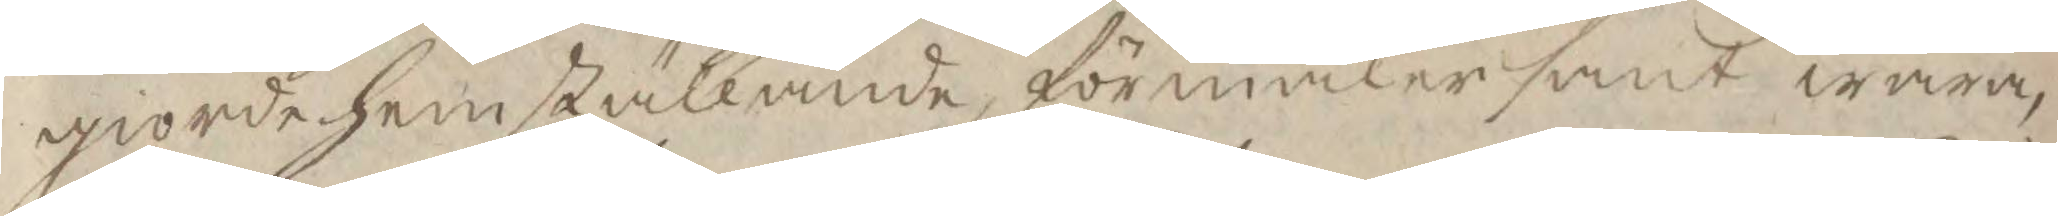giorde hemställande, förmäler sant wara,
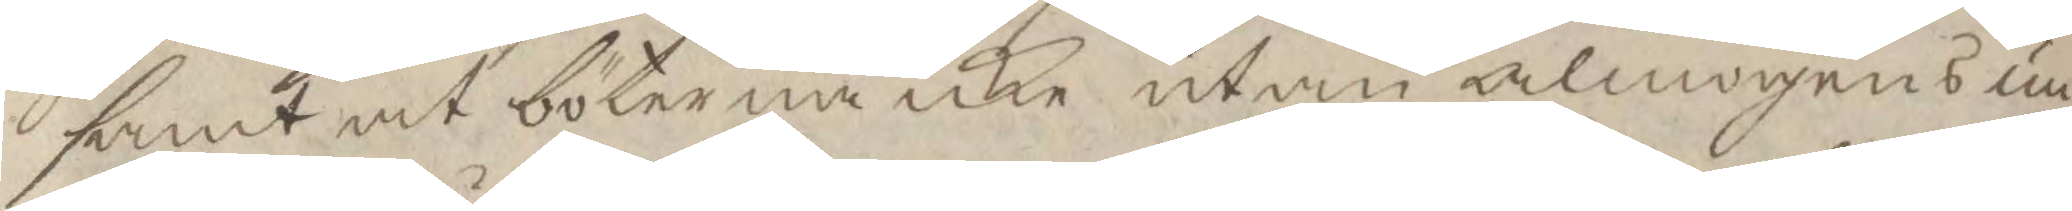samt at böterna icke utan almogens un¬
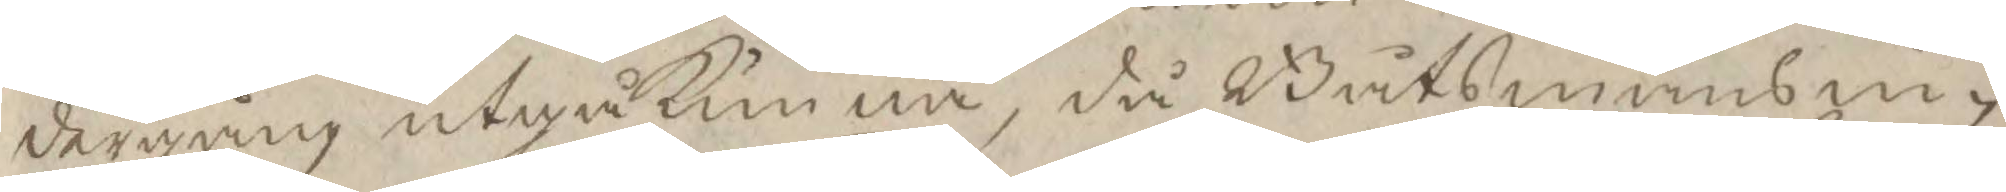dergång utgå kunna, då Båtsmansi¬
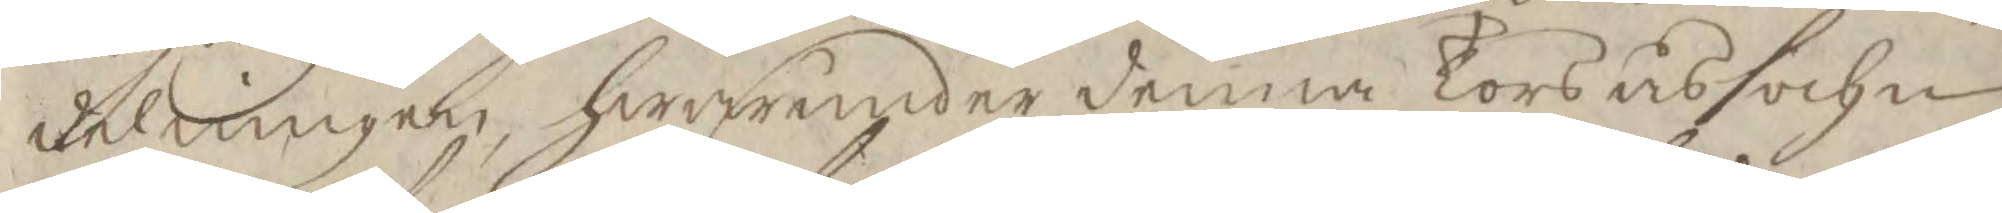delningen, hwarunder denna Torsås sochn
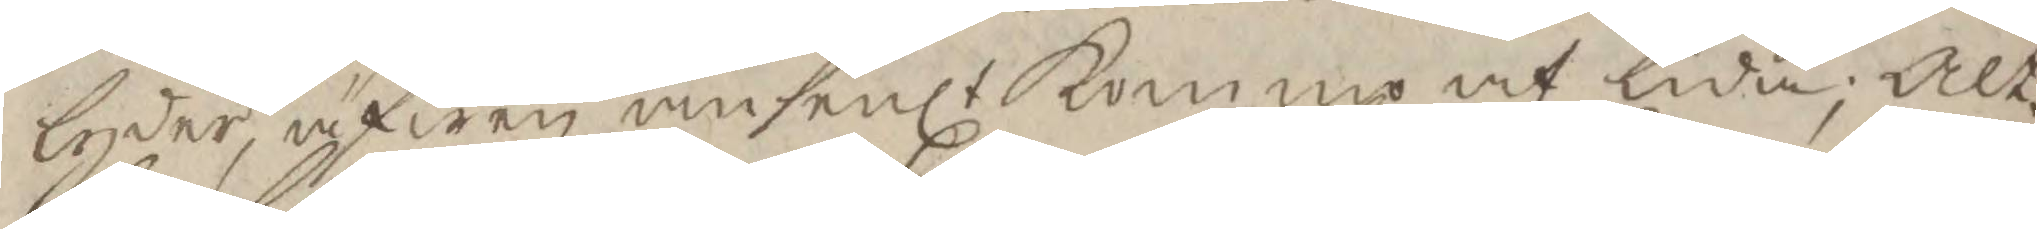lyder, äfwen ansenlt kommo at lida; Alt¬
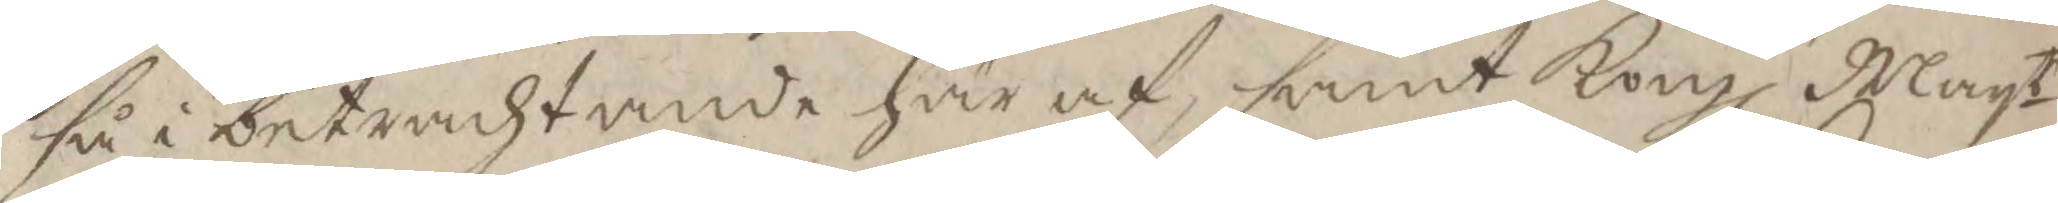så i betrachtande här af, samt Kongl Mayt 
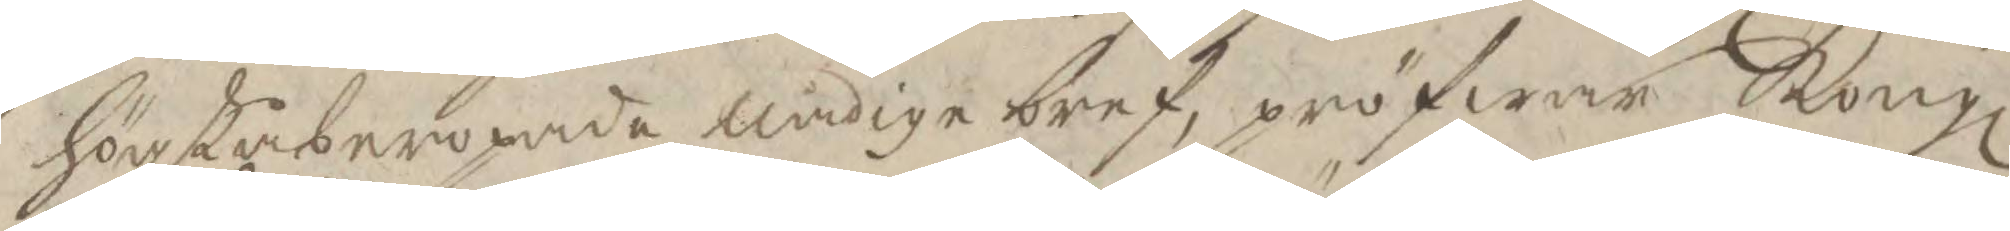högst åberopade nådige bref, pröfwar Kongl
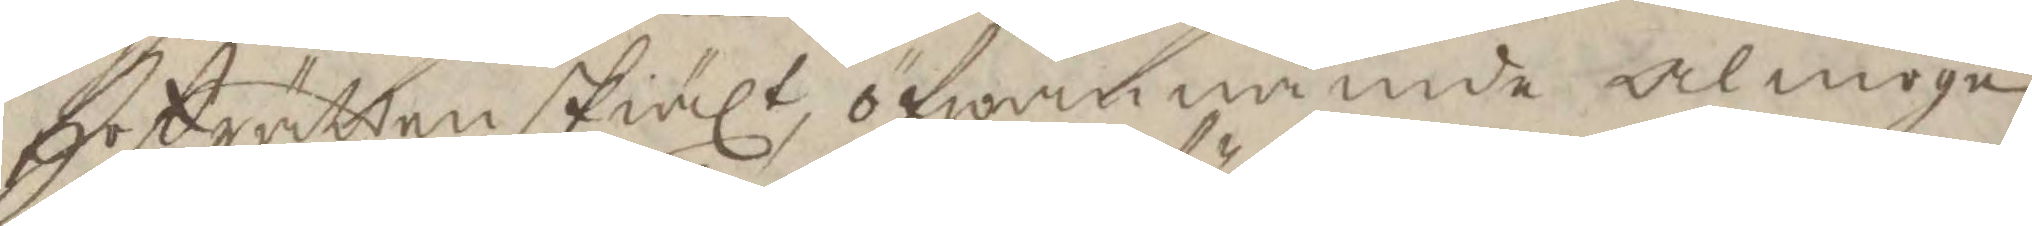Hofrätten skiält, öfwannämde almoge
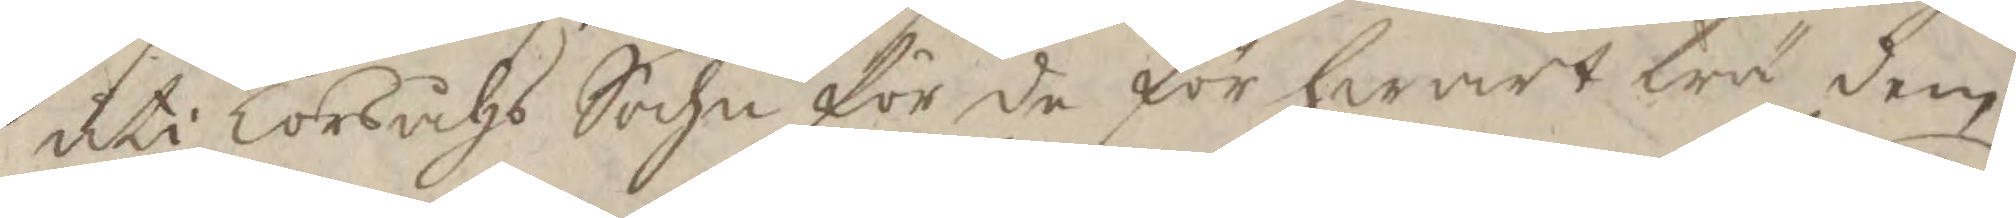uti Torsåhs Sochn för de för hwart trä dem
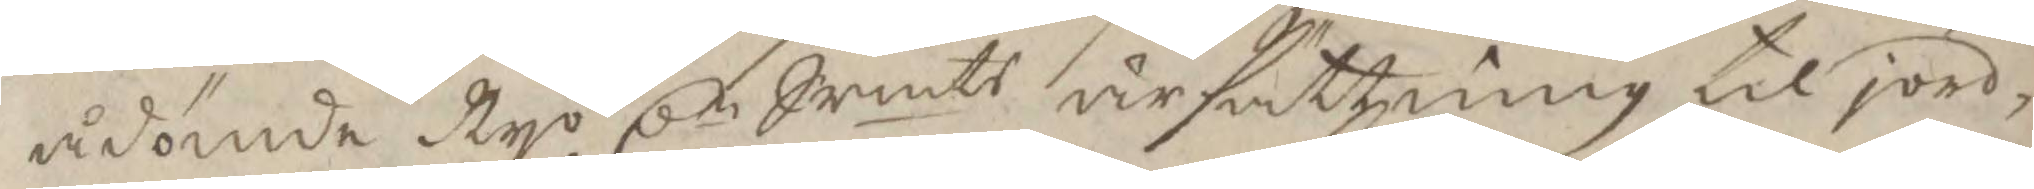ådömde Nyo Cn Srmts ärsättning til jord¬ 
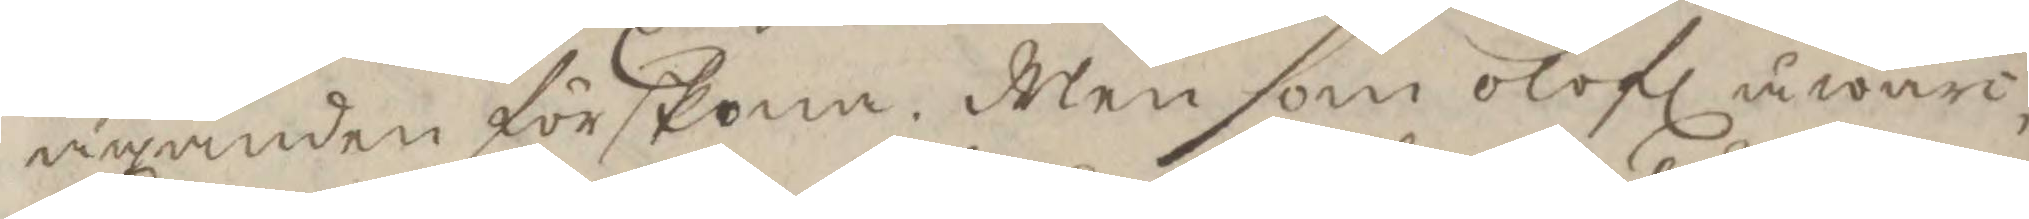äganden förskona. Men som olofl åwär¬ 
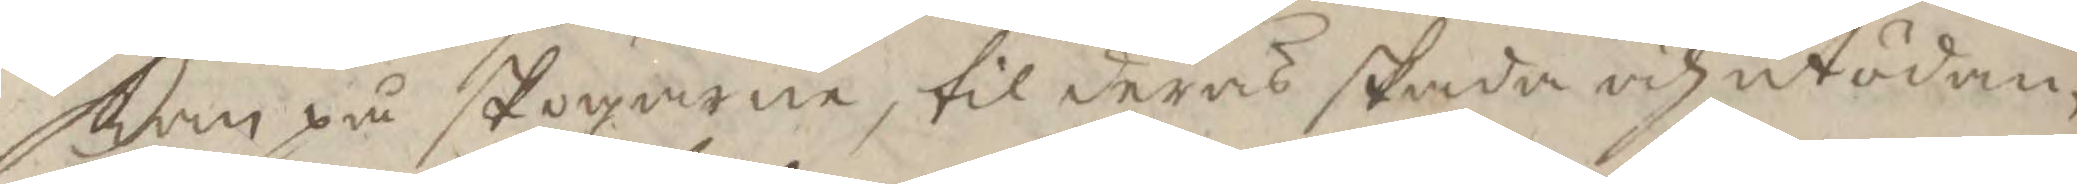kan på skogarne, til deras skada och utödan¬
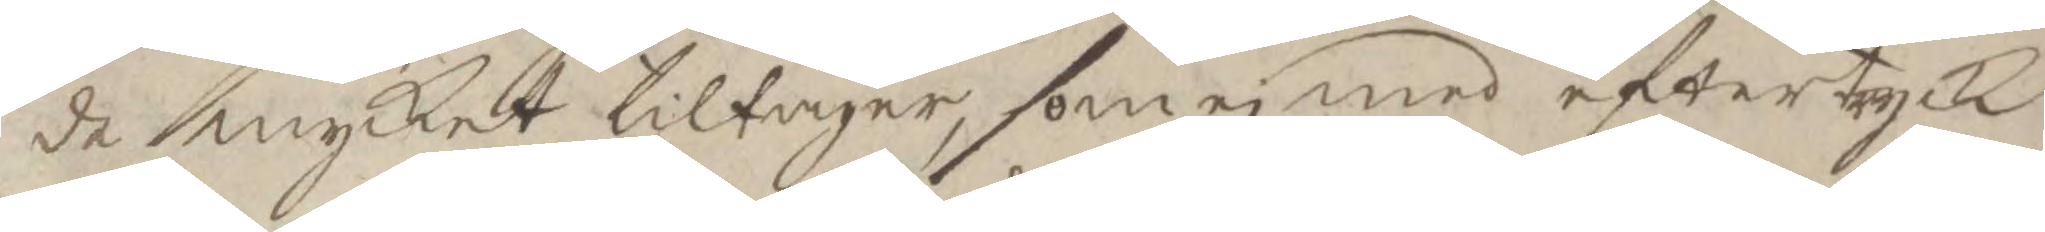de mycket tiltager, som ei med eftertyck
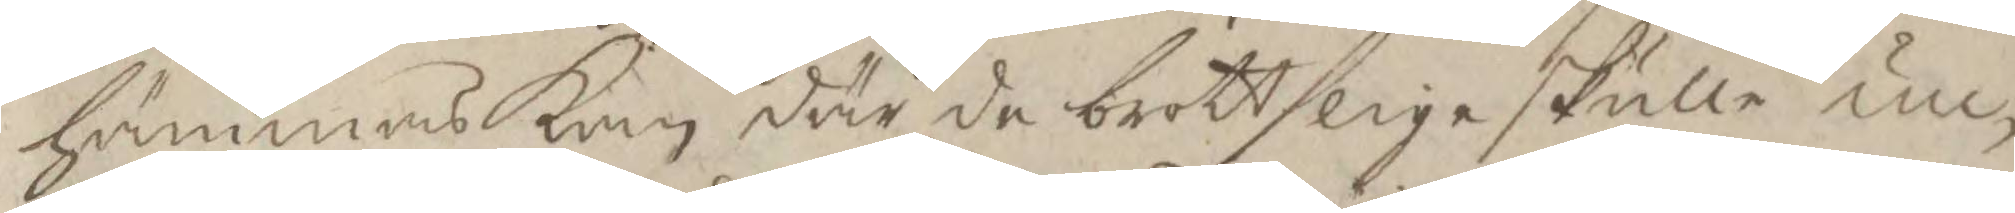hämmas kan där de brottslige skulle un¬
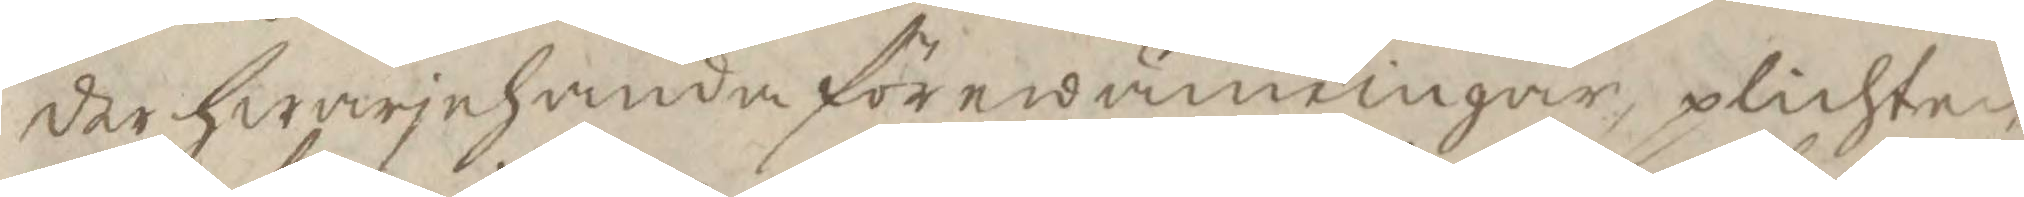der hwarjehanda förewänningar, plichten
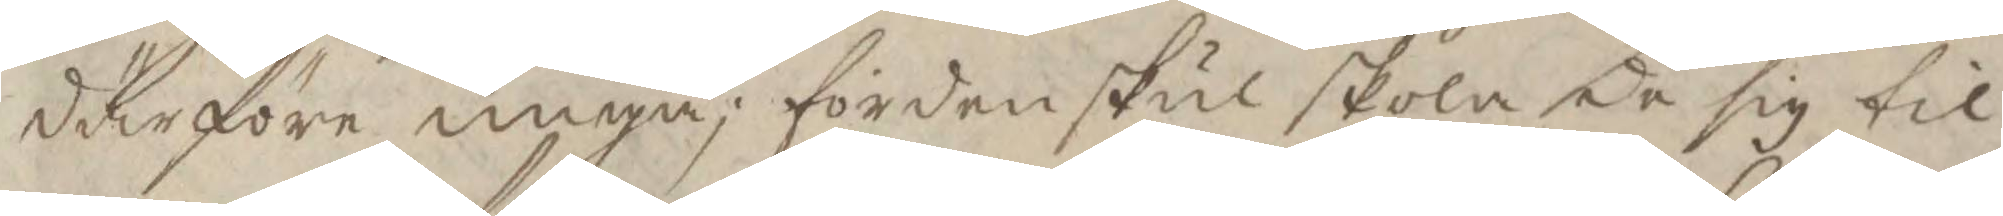därföre ungå; förden skul skola de sig til
